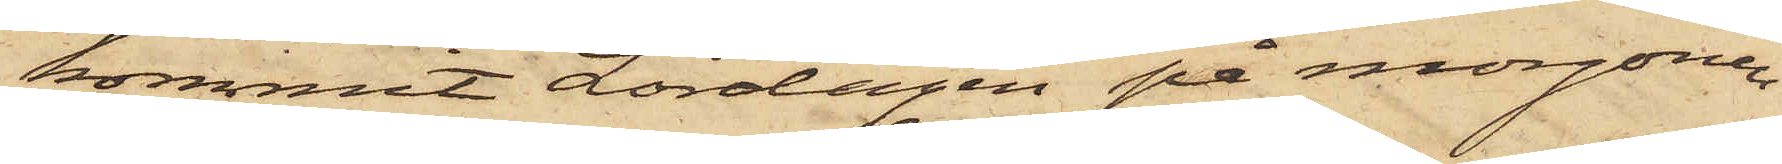kommit Lördagen på morgonen
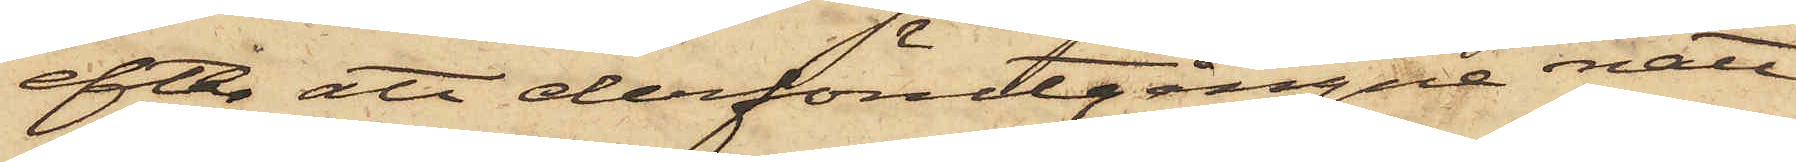efter att derförutgångne natt
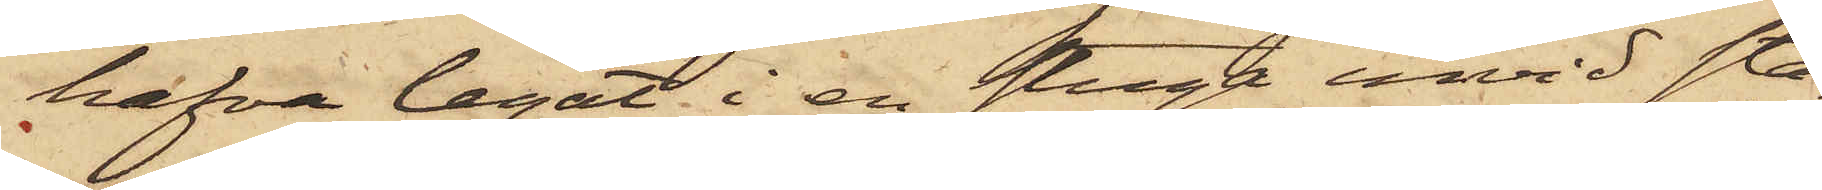hafva legat i en stuga invid Sta¬
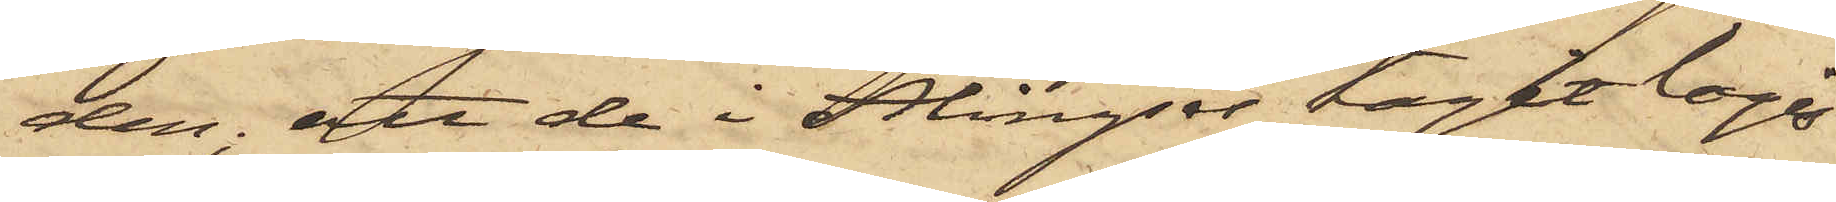den; att de i Alingsås tagit logi
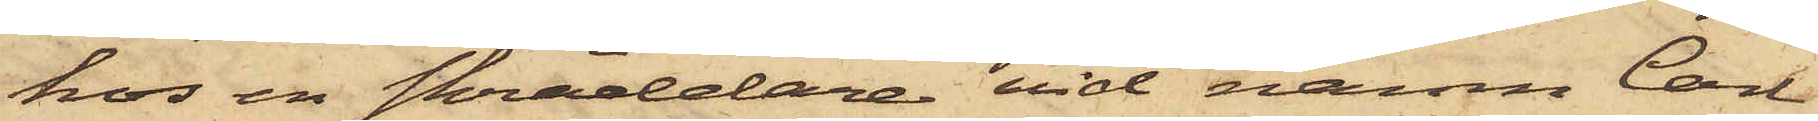hos en skräddare vid namn Carl
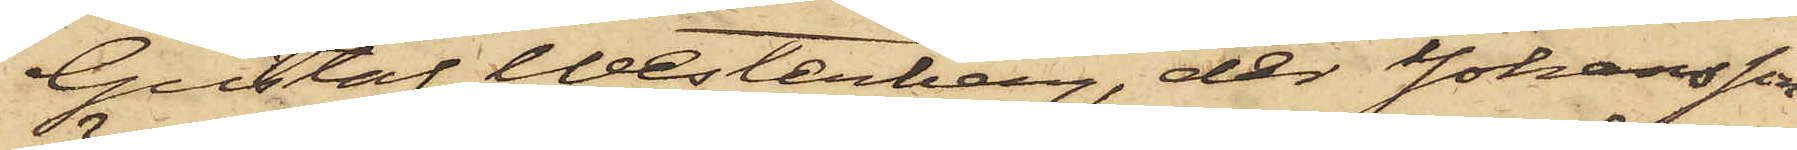Gustaf Westerberg, der Johansson
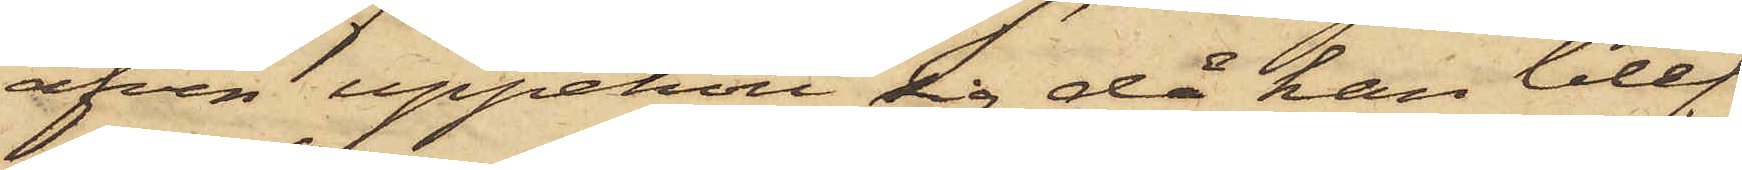äfven uppehöll sig då han blef
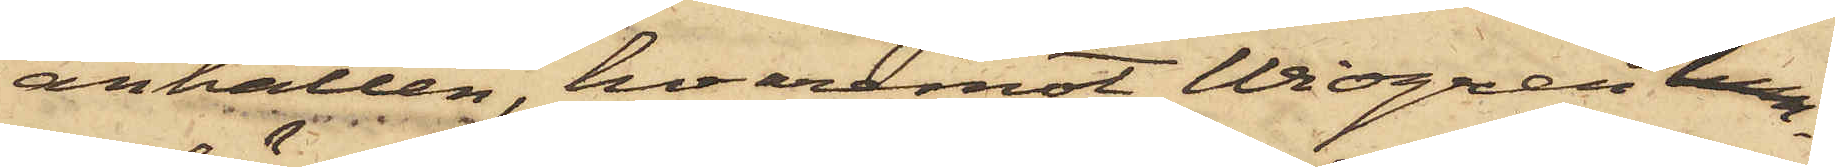anhållen, hvaremot Widgren lem¬
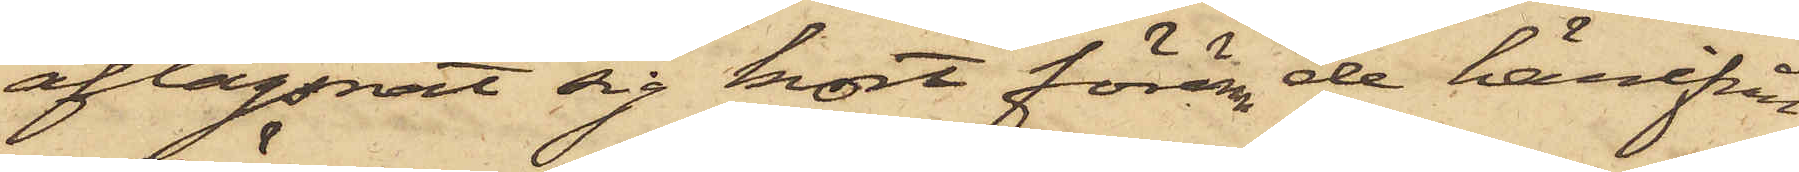aflägsnat sig kort förrän de härifrån
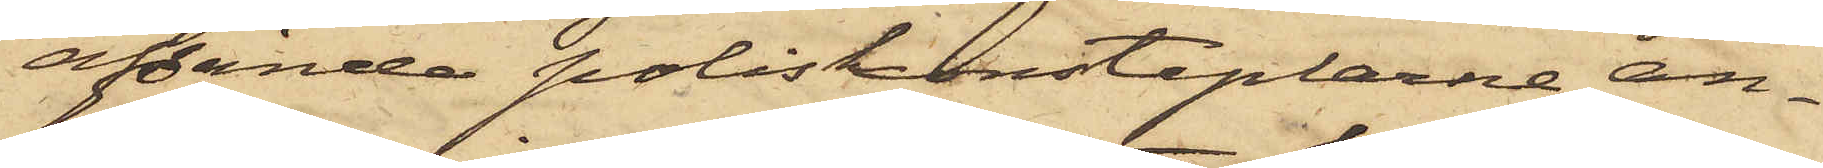afsände poliskonstaplarne an¬
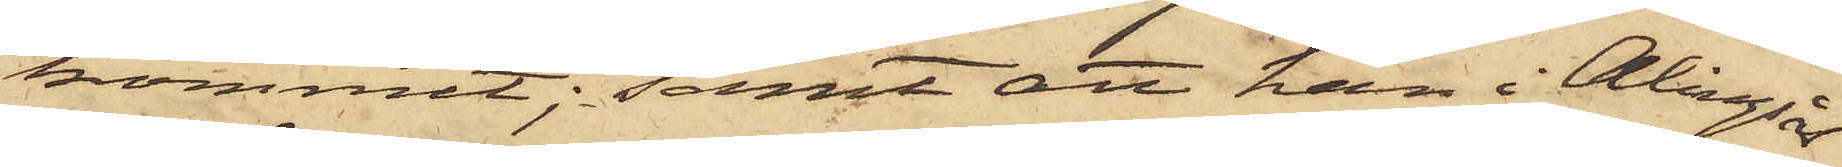kommit; samt att han i Alingsås
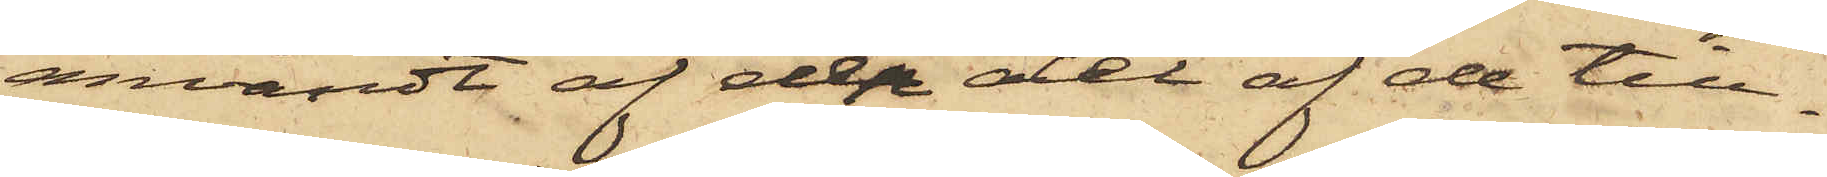användt af den del af de till¬
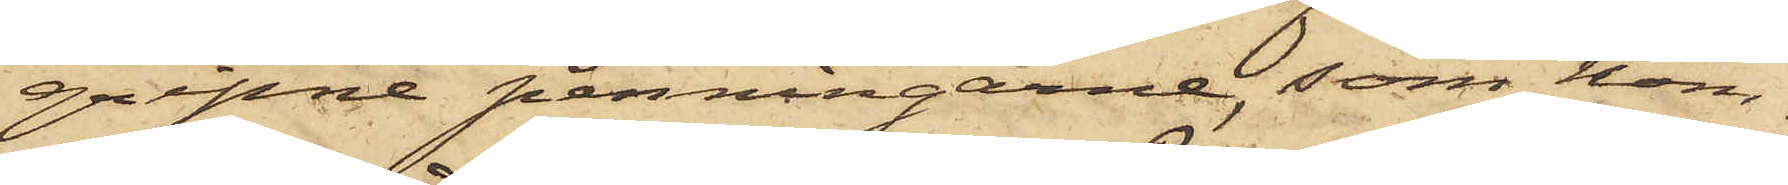gripne penningarne, som kom¬
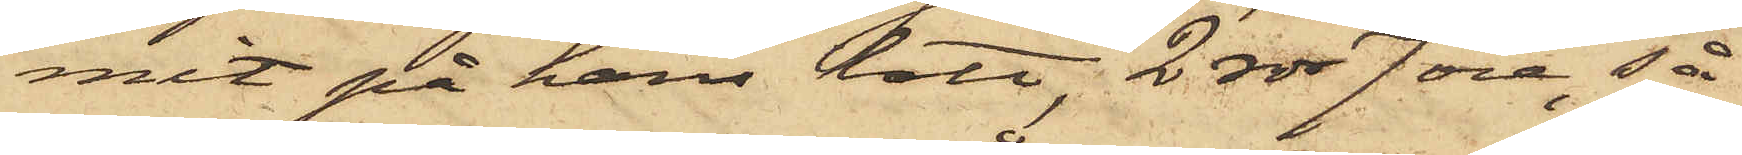mit på hans lott, 2 rdr 7 öre, så
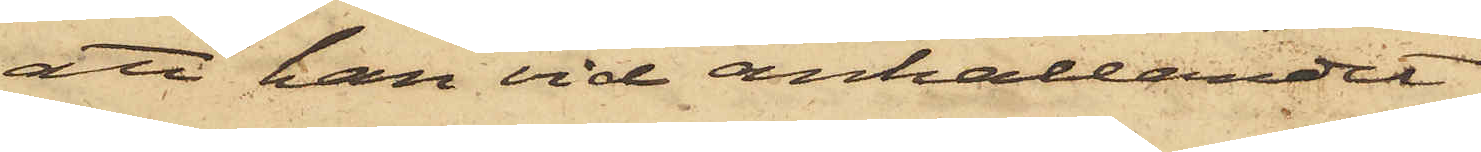att han vid anhållandet
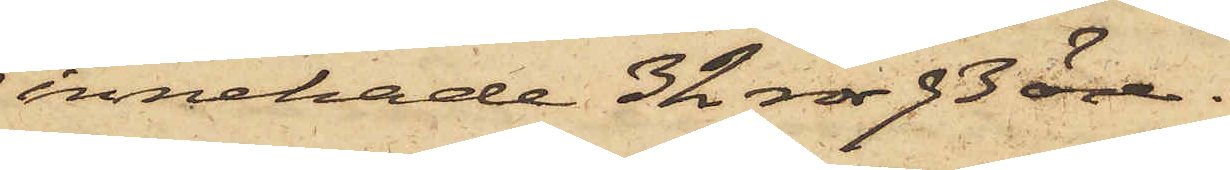innehade 32 rdr 93 öre.
